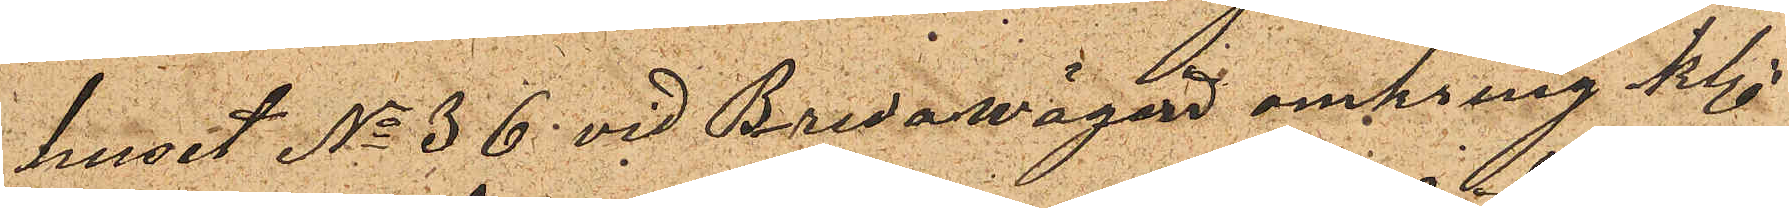huset No 36 vid Bredawägen omkring kl.
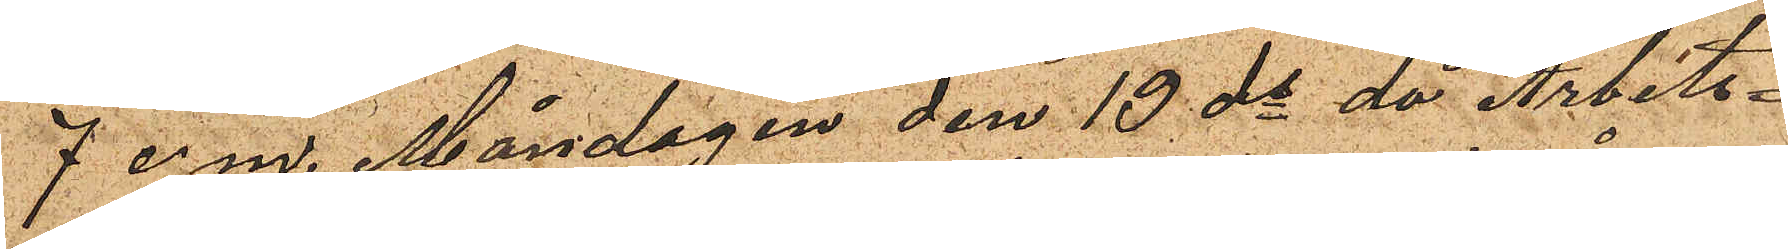7 e.m. Måndagen den 19 ds då Arbets¬
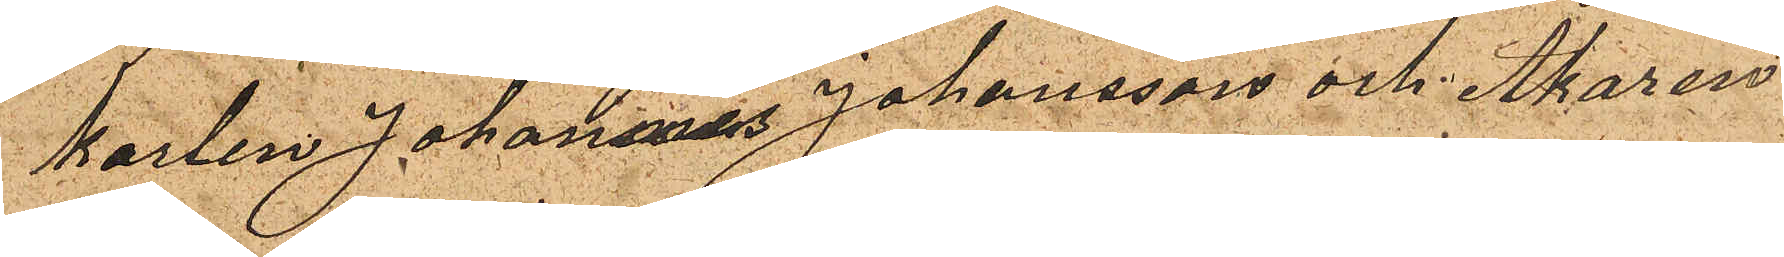karlen Johannes Johansson och Åkaren
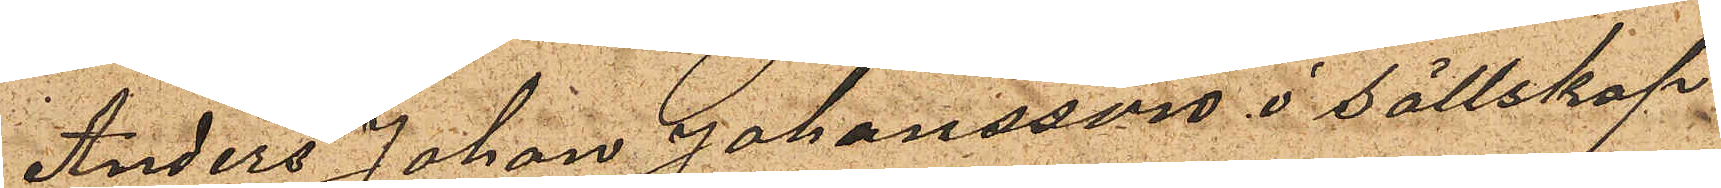Anders Johan Johansson i sällskap
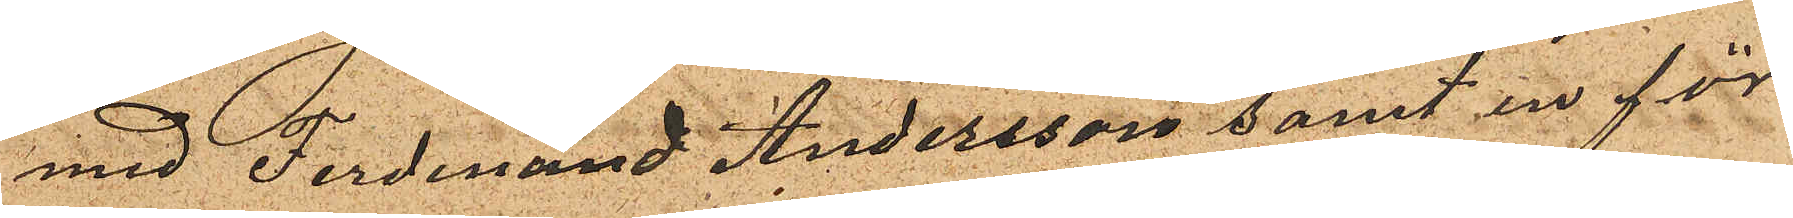med Ferdinand Andersson samt en för
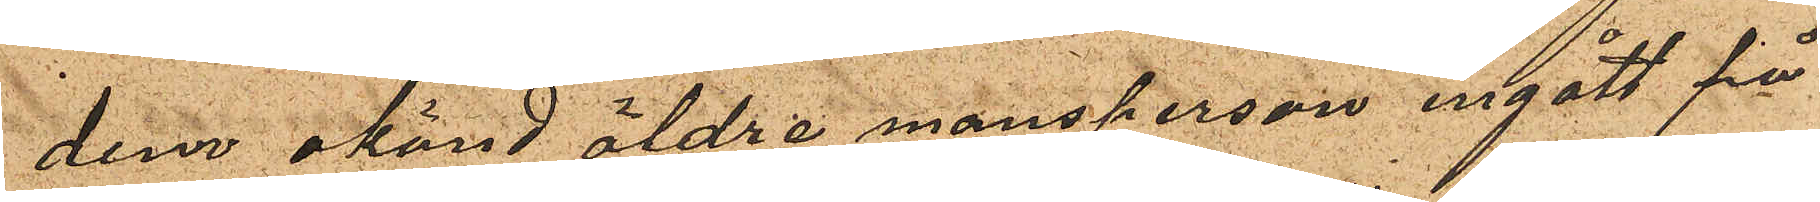dem okänd äldre mansperson ingått på
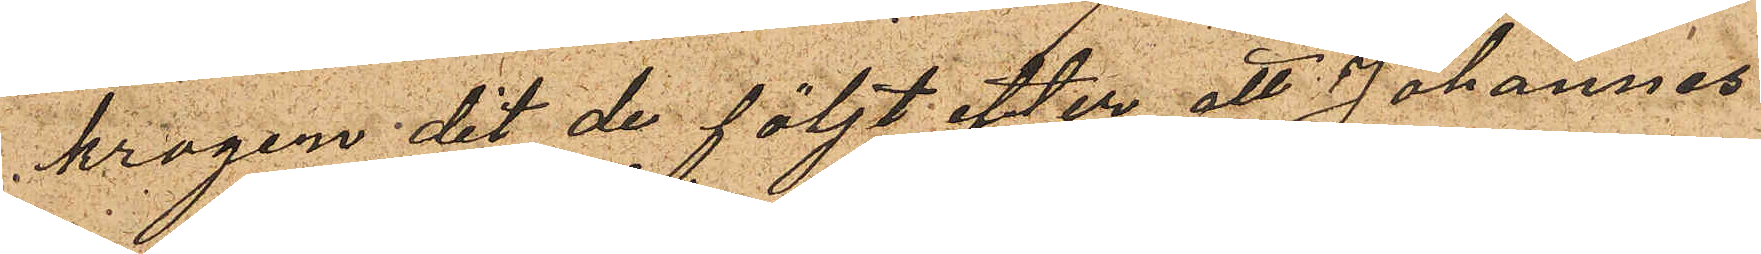krogen dit de följt efter att Johannes
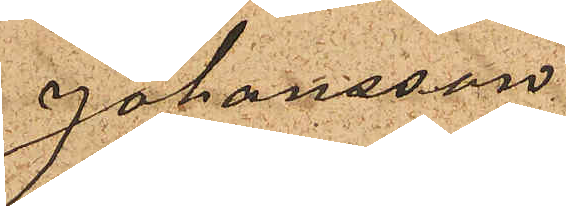Johansson
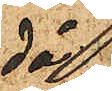då 
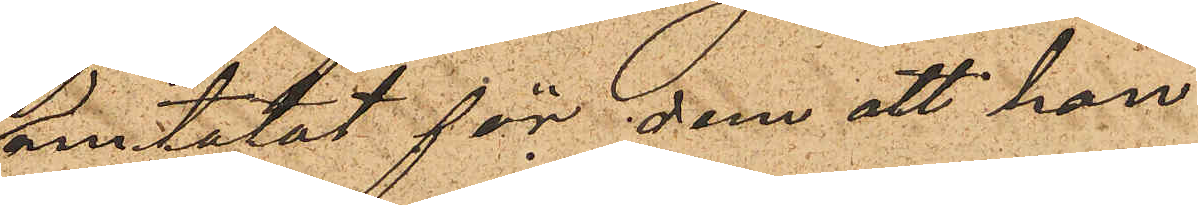omtalat för dem att han
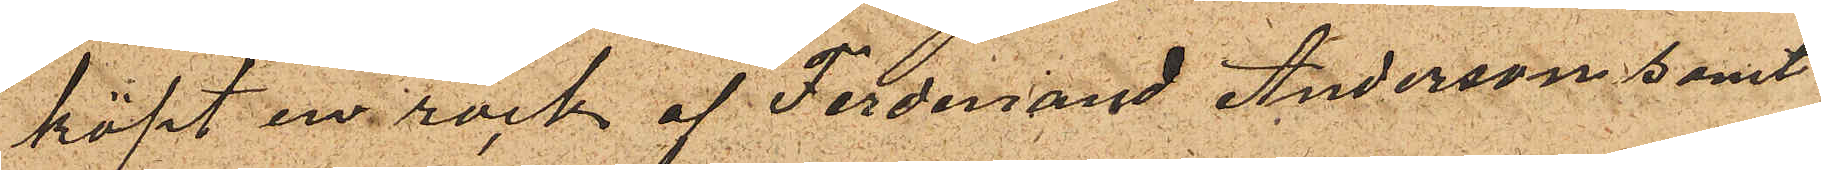köpt en rock af Ferdinand Andersson samt
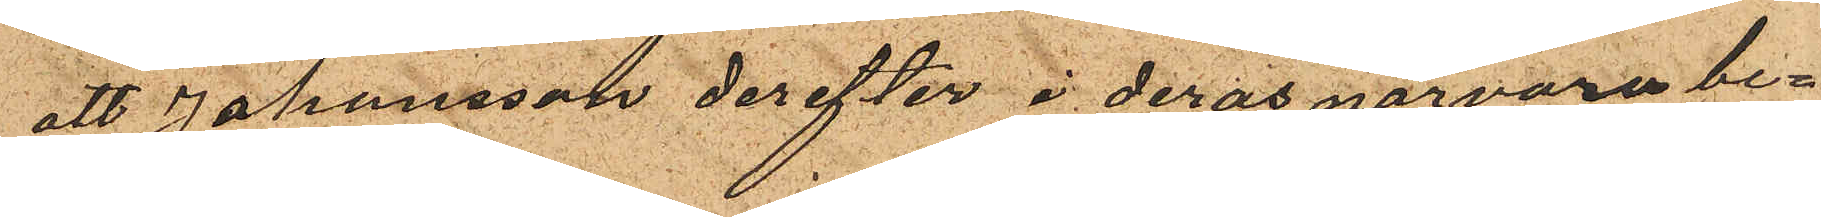att Johansson derefter i deras närvaro be¬
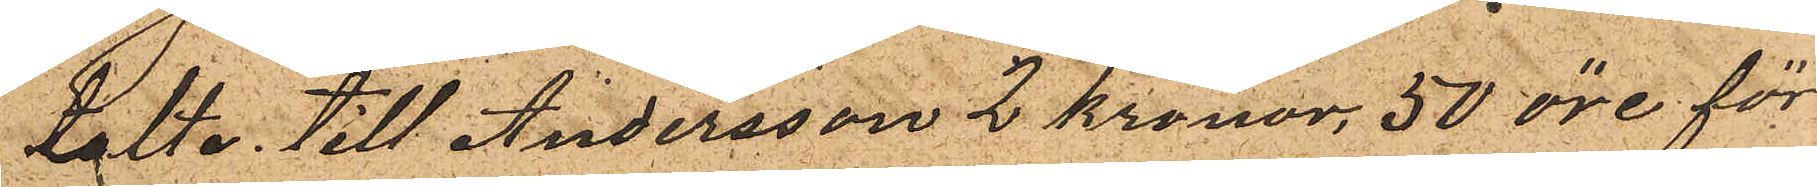talte till Andersson 2 kronor. 50 öre för
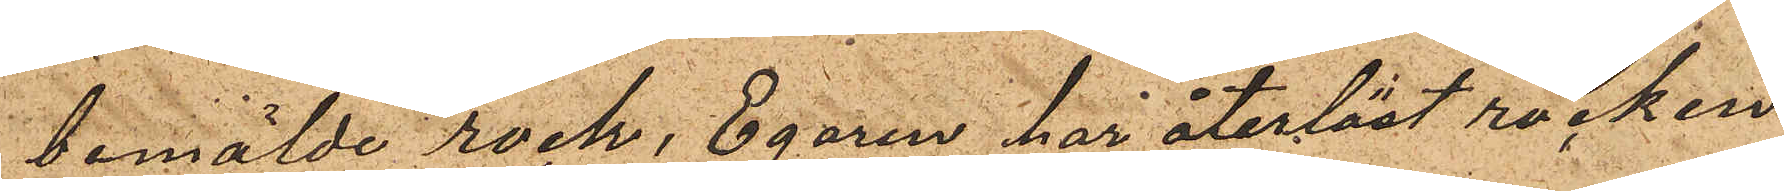bemälde rock, Egaren har återlöst rocken
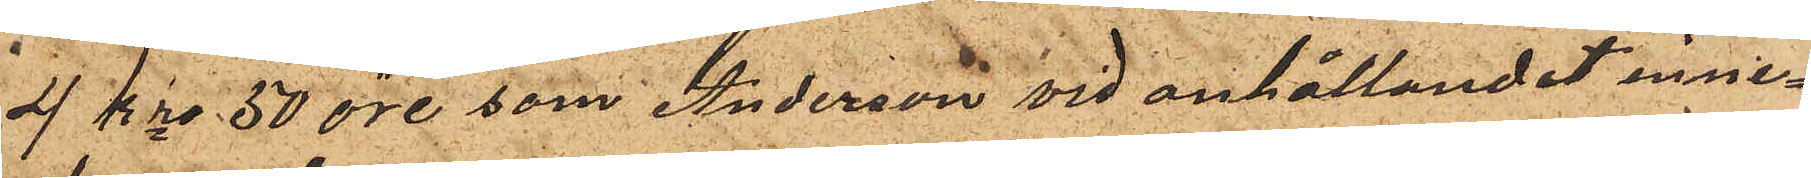4 kr 50 öre, som Anderson vid anhållandet inne¬
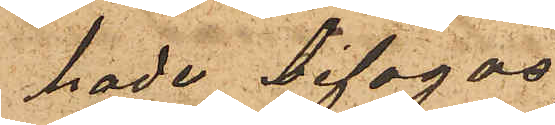hade bifogas.
